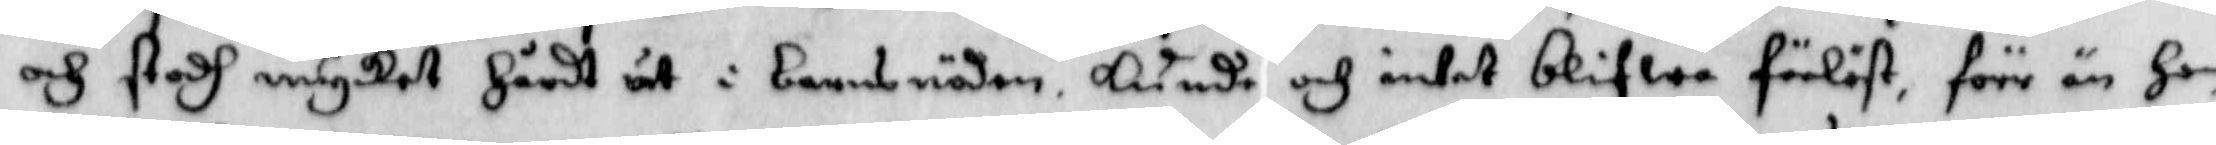och stodh mycket Hårdt ut i barnsnöden, kunde och intet blifwa förlöst, förr än Hon
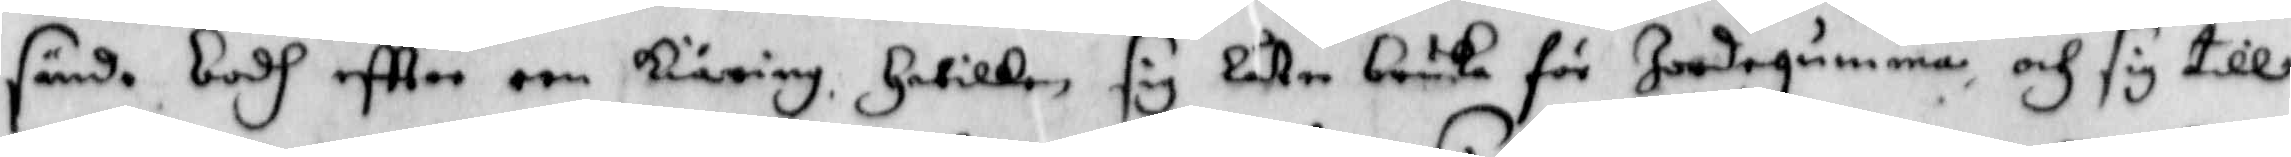sände bodh eftter een kiäring, Hwilken sig Låter bruka för Jordegumma, och sig till
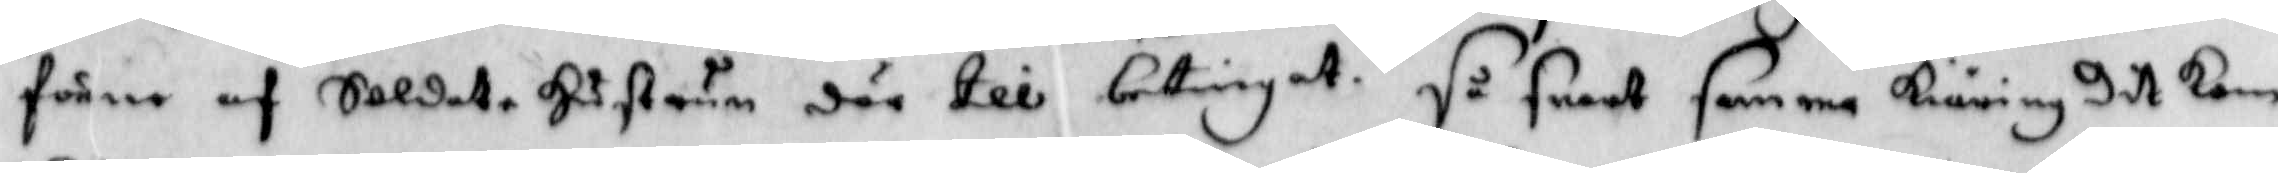förne af Soldat Hustrun där till betingat. så snart samma kiäring dit kom
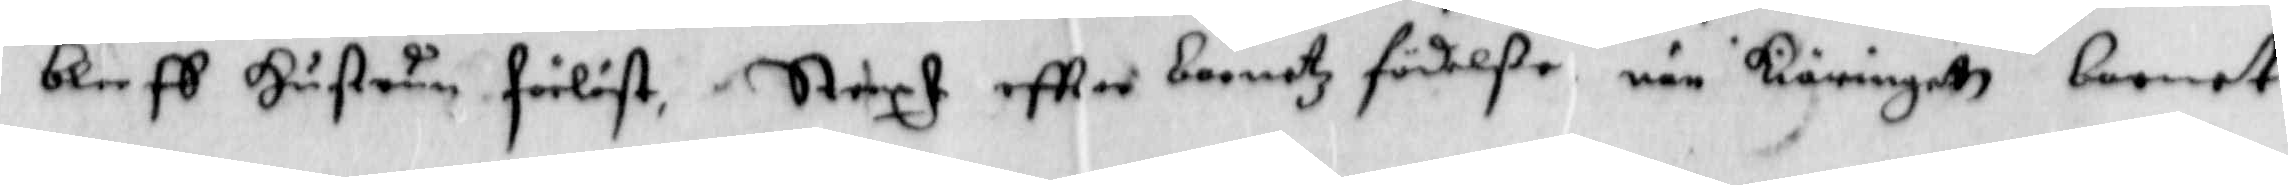bleeff Hustrun förlöst. Straxt eftter barnetz födelße när kiäringett barnet
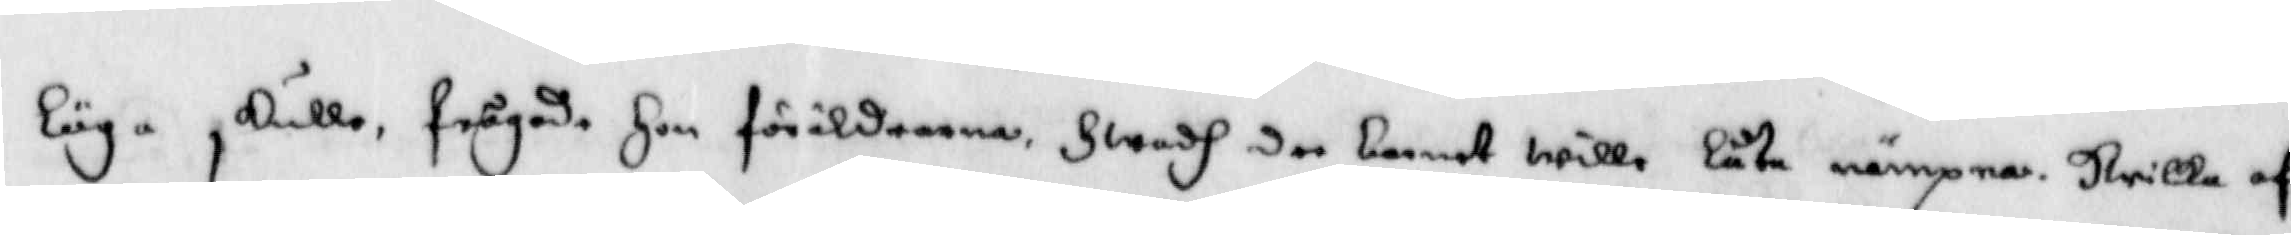löga skulle frågade Hon föräldrarna Hwadh dee barnet wille låta nämpna, Hwilka af
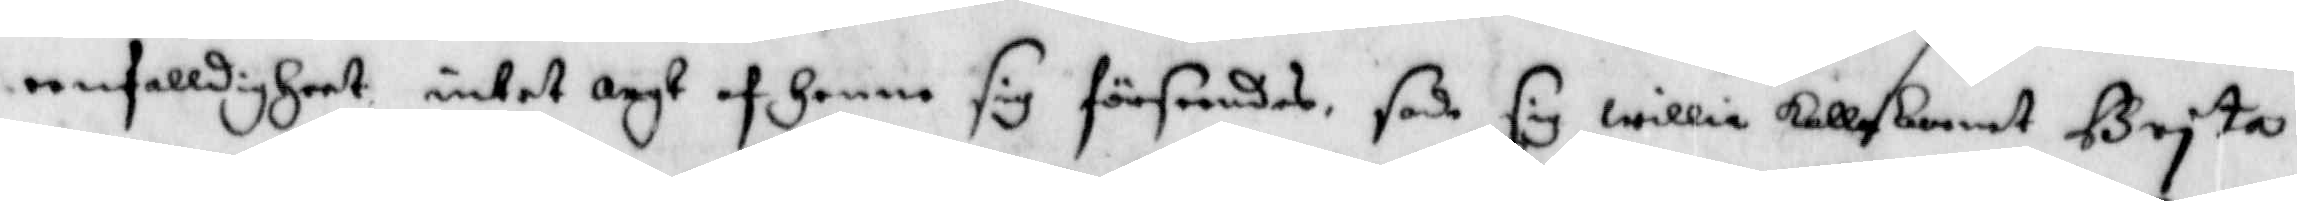eenfalldigheet intet argt af Henne sig förseendes, sade sig willia kalla barnet Brita
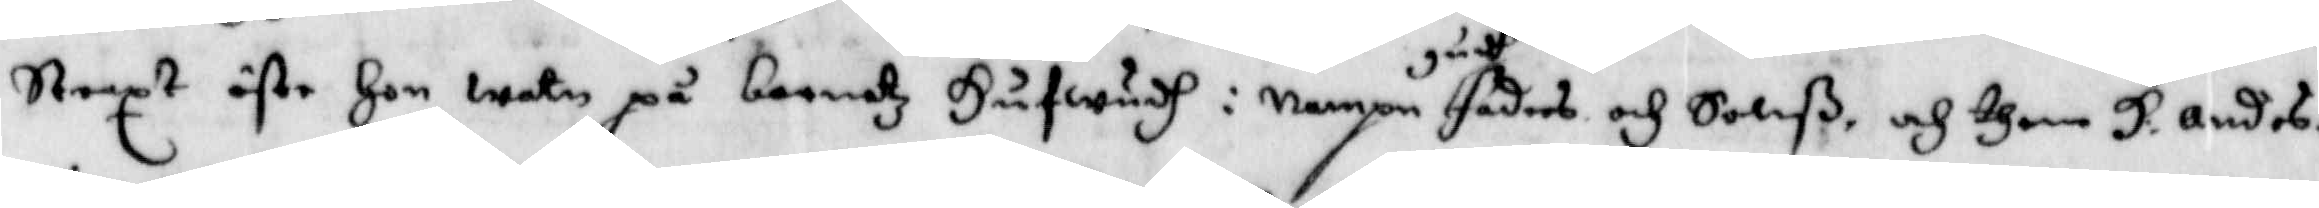Straxt öste Hon watn på barnetz Hufwudh i nampn gudh faders och Sohnß, och then H. andes. 
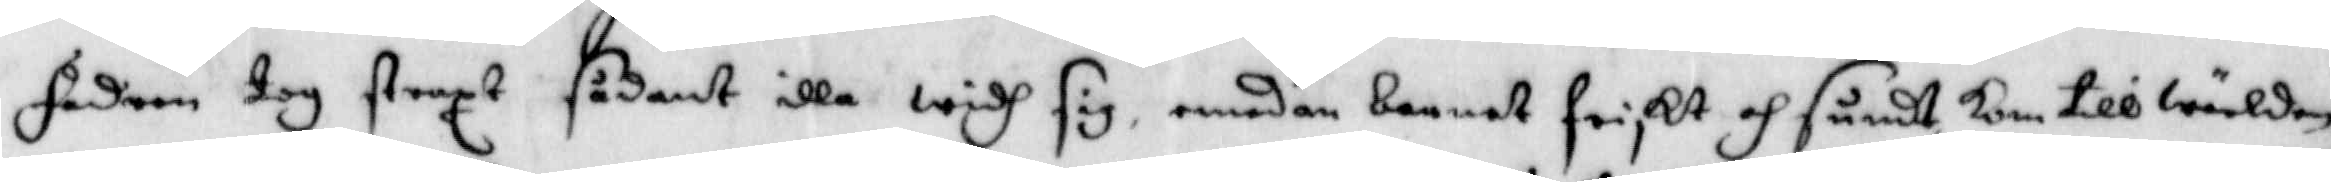fadern tog straxt sådant illa widh sig, emedan barnet friskt och sundt kom till wärlden
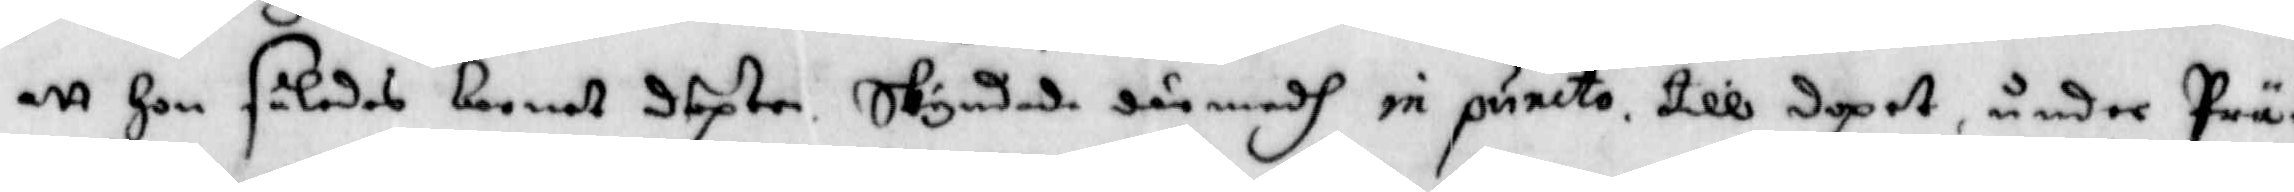att Hon således barnet döpte, Skyndade där medh in puncto till dopet, under Prä¬
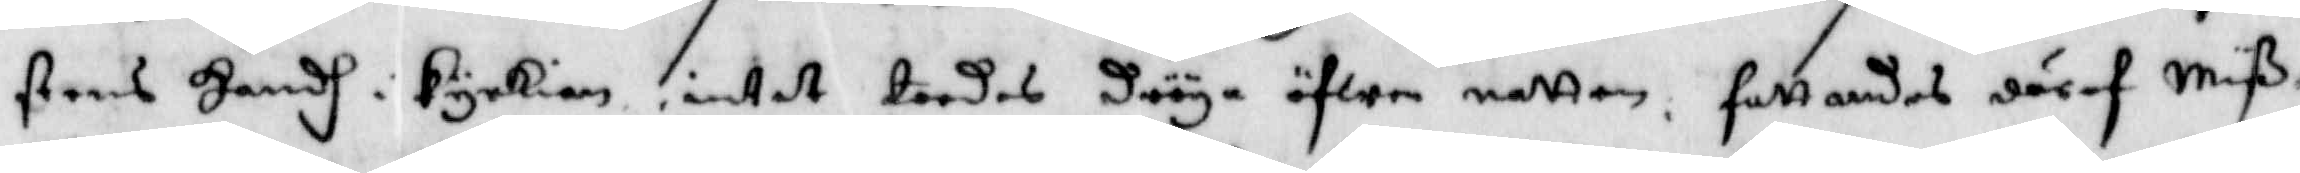stens Handh i kyrkian, intet tordes dröya öfwer natten, fattandes däraf Nilß
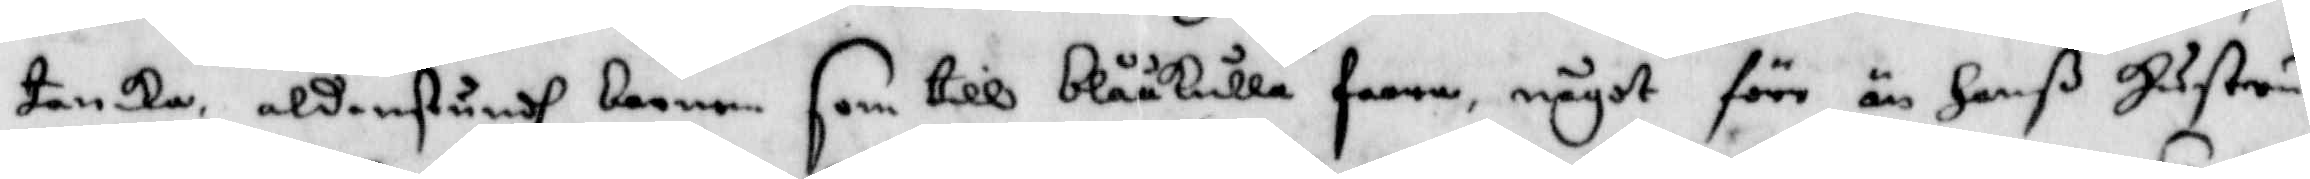tanka, aldenstundh barnen som till blååkulla faara, något före än Hanß Hustru
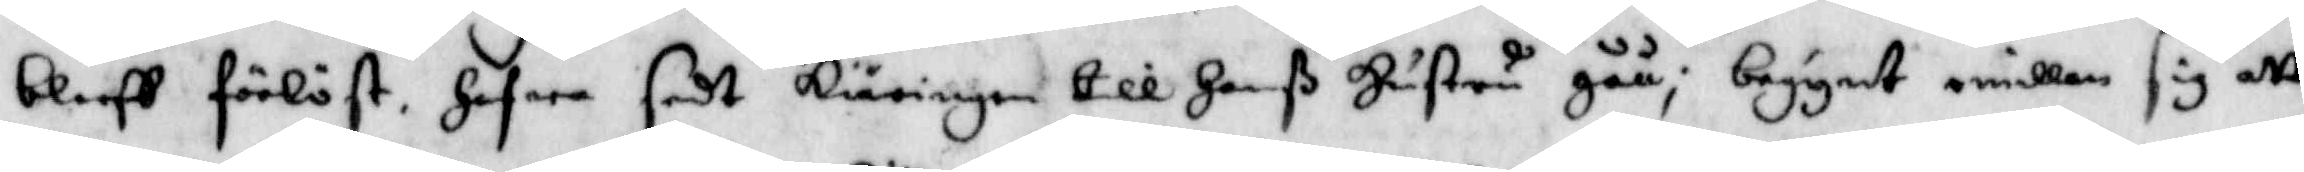bleff förlöst, hafwa sedt kiäringen till Hanß Hustru gåå; begynt emellan sig att
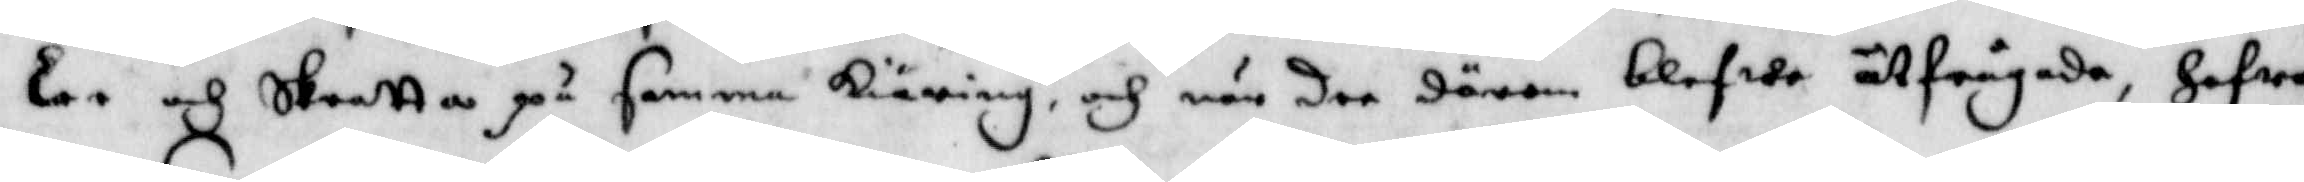Lee och skratta på samma kiäring, och när dee därom blefwo utfrågadhem Hafwa
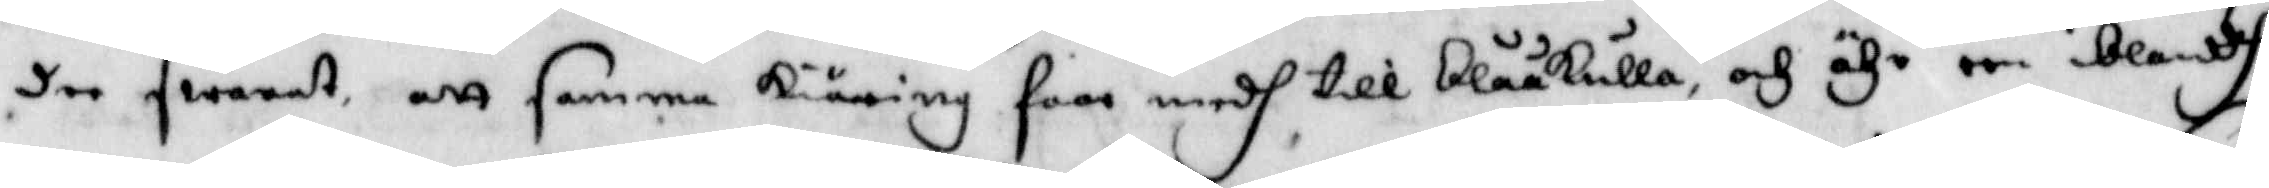dee swarat, att samma kiäring faar medh till blååkulla, och ähr een iblandh
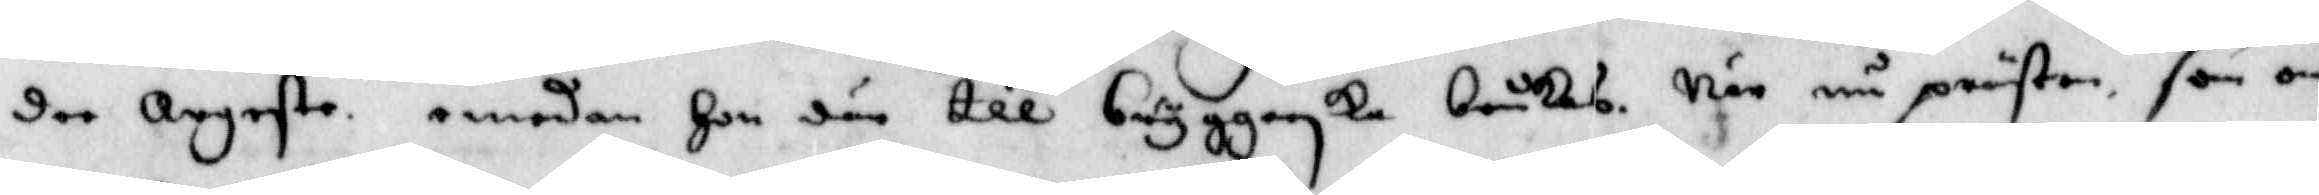dee Argaste, emedan Hon där till bryggerska brukas. När nu prästen som om
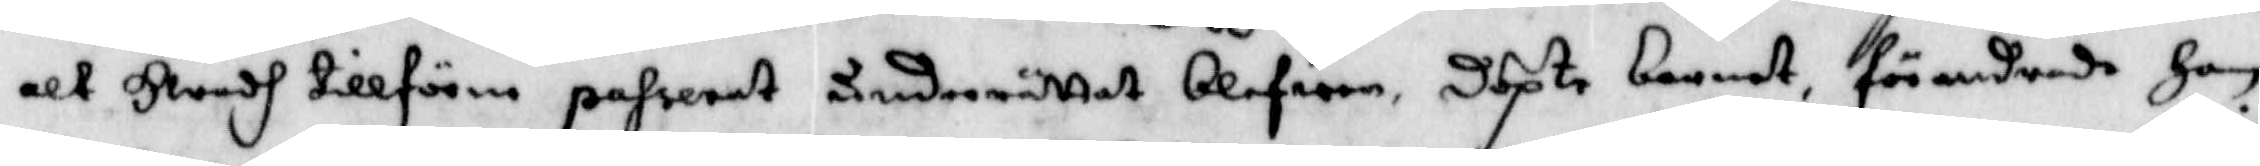alt Hwadh tillförne paserat underrättat blefwen, döpte barnet, förandrade Han
